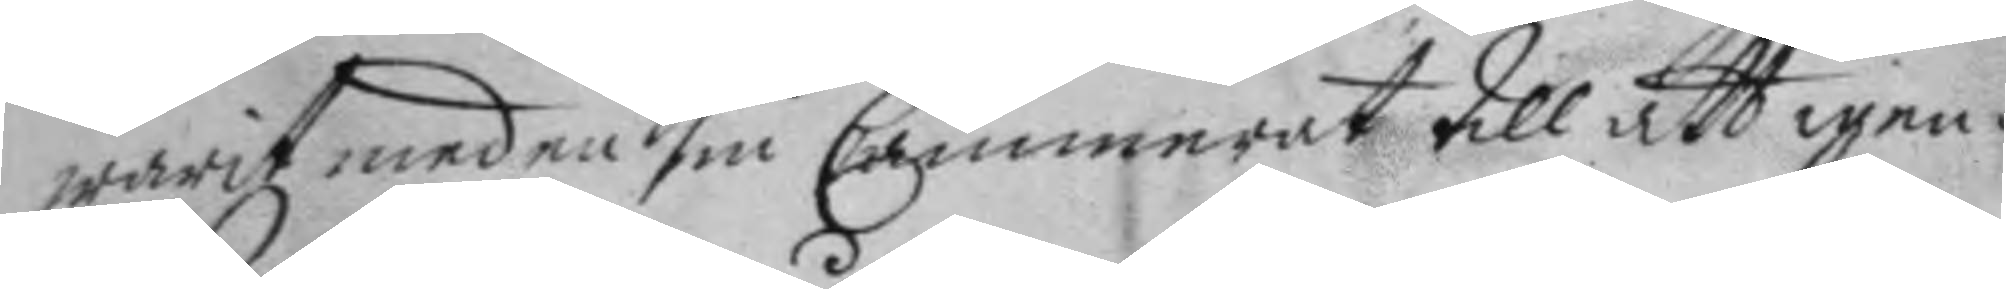warit med en sin Cammerat till att igen¬
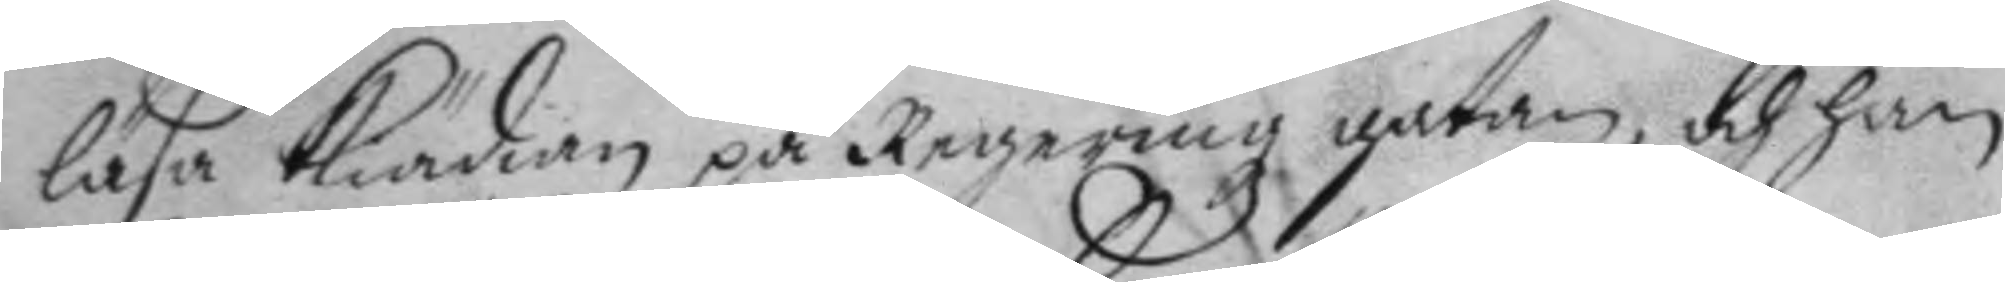läsa kiädan på Regeringz gatan, och han
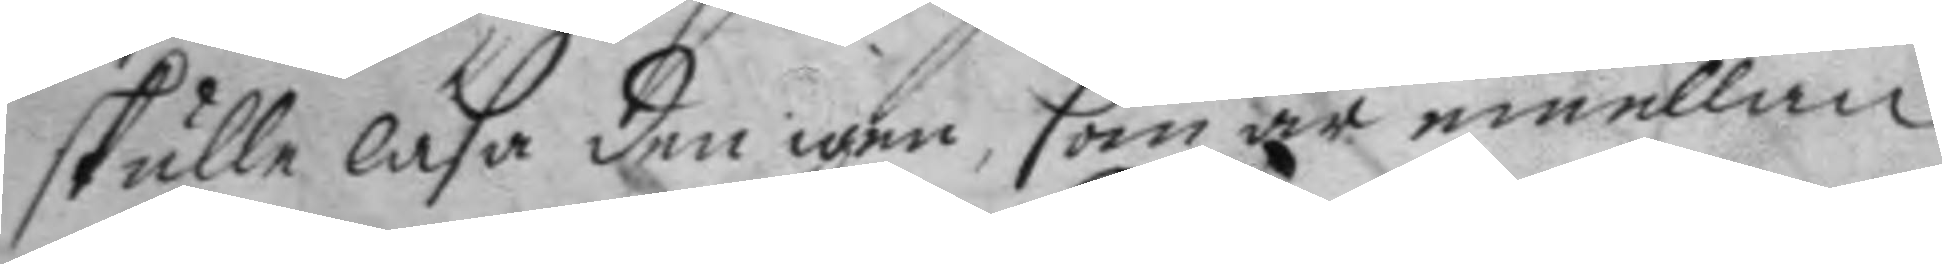skulle låsa den igen, som är emellan
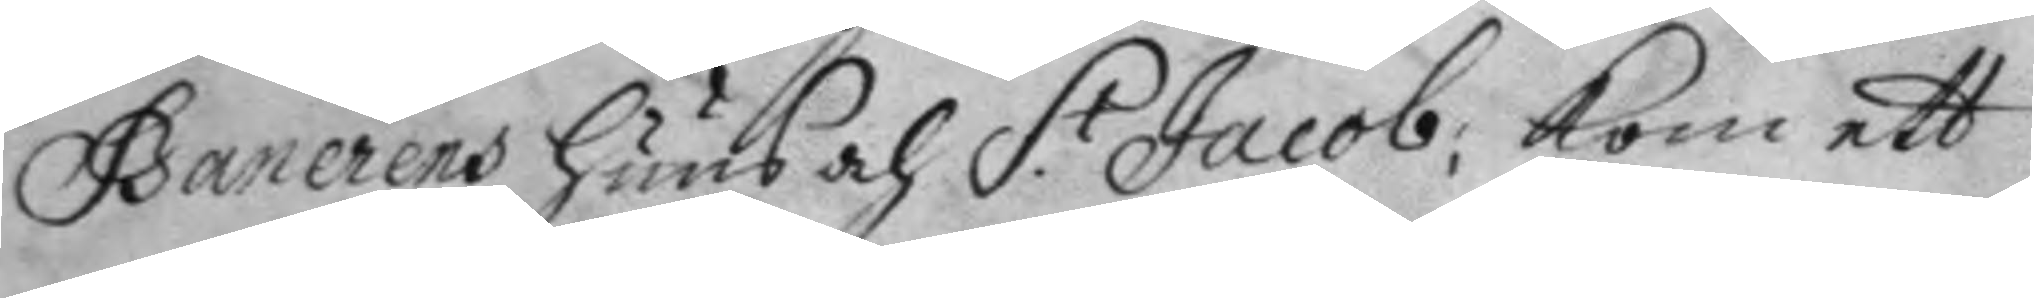Banerens huus och S.t Jacob; kom ett
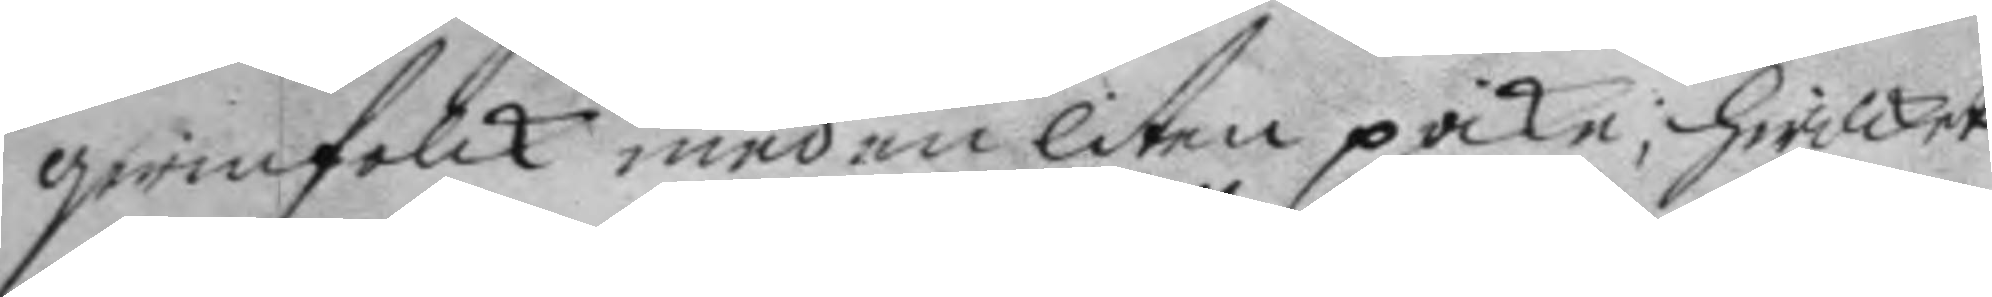qwinfolck med en liten poike; hwilket
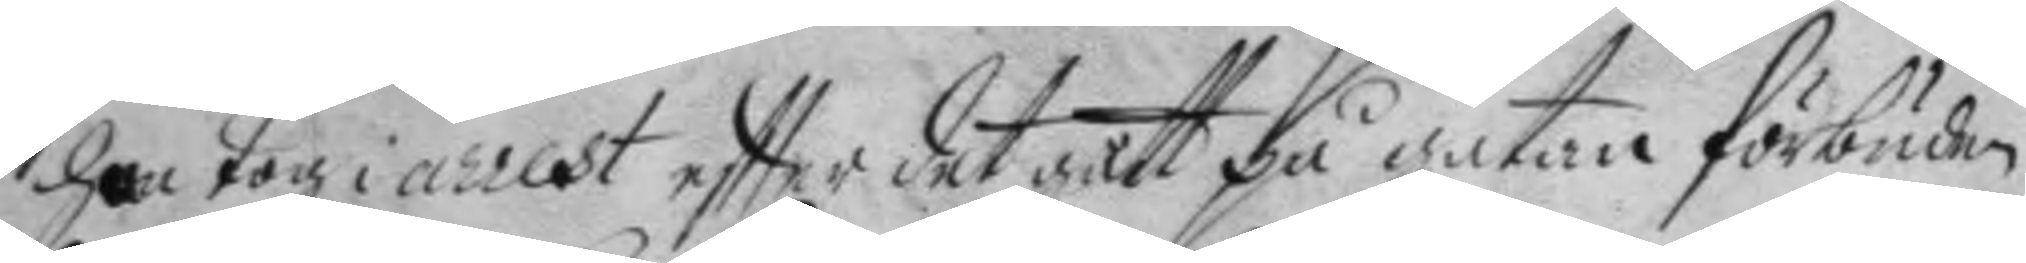han tog i arrest eftter det gått på gatan förbuden
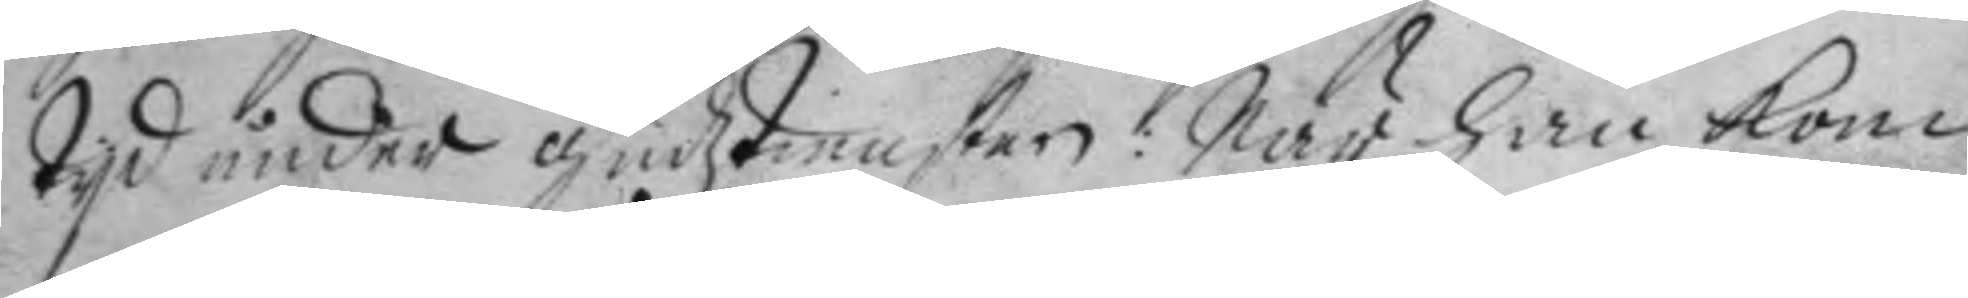tyd under gudztiensten. När han kom
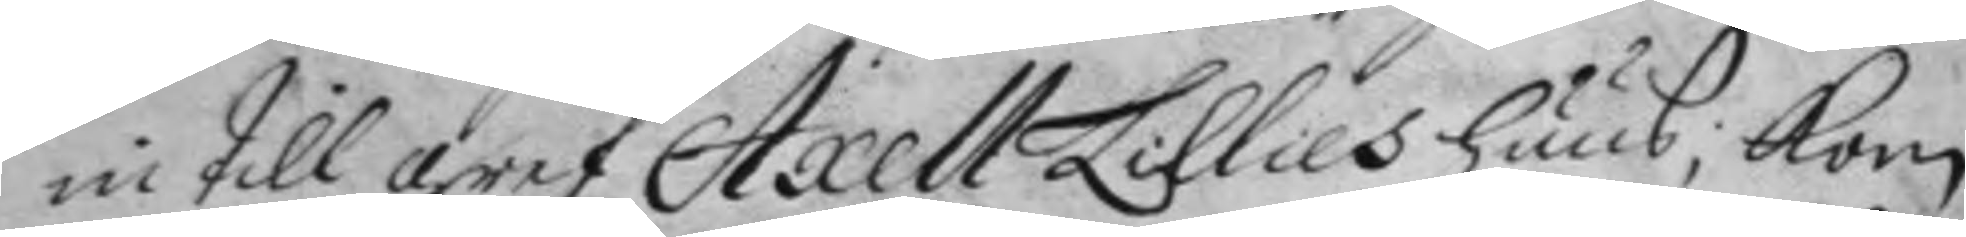in till gref Axell Lillies huus; kom
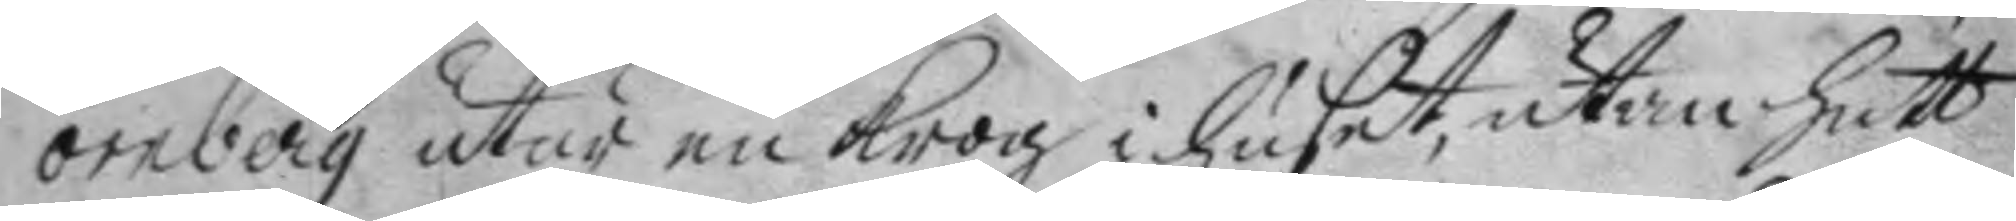örnberg utur en krog i huset, utan hatt
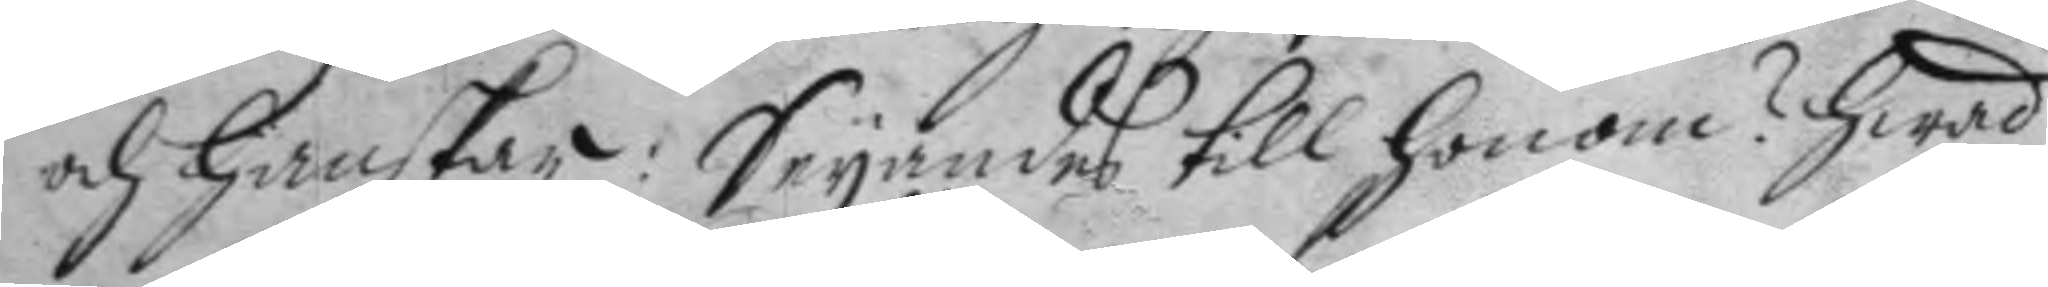och hanskar: Seyandes till honom? hwad
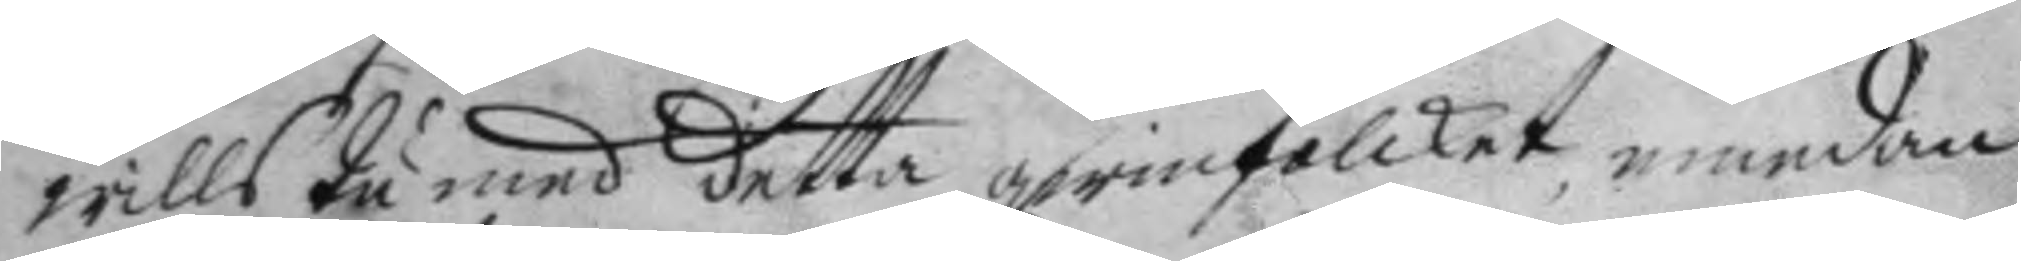wills du med detta qwinfolcket, emedan
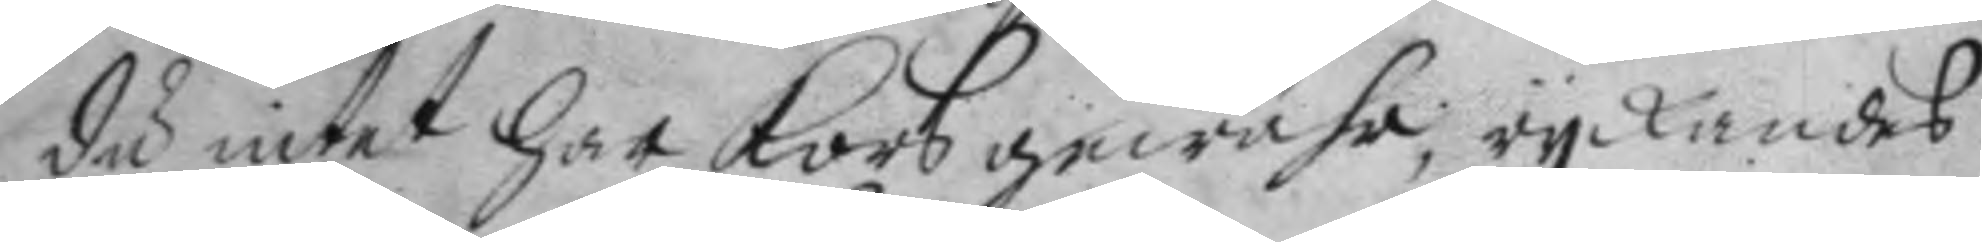du intet har korsgewähr, ryckandes
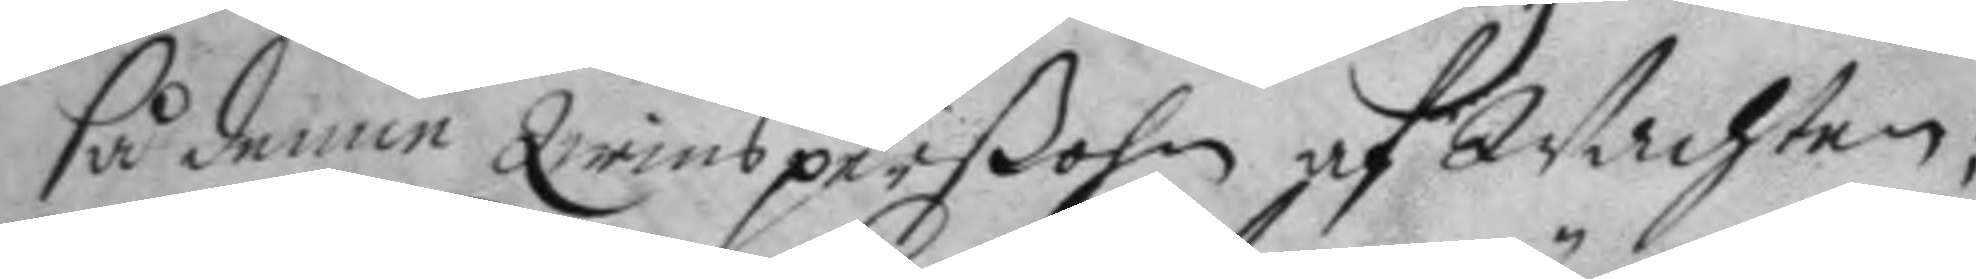så denne qwinsperßohn af Wachten;
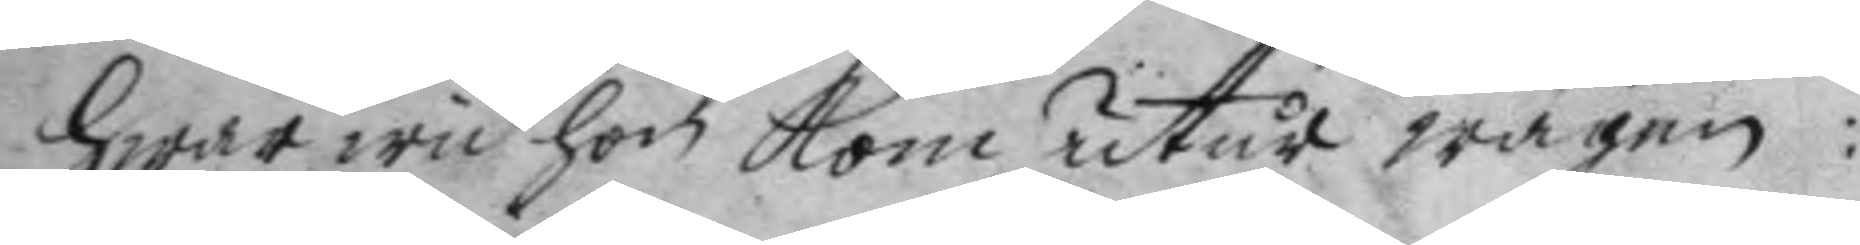hwar wid hon kom utur wägen:
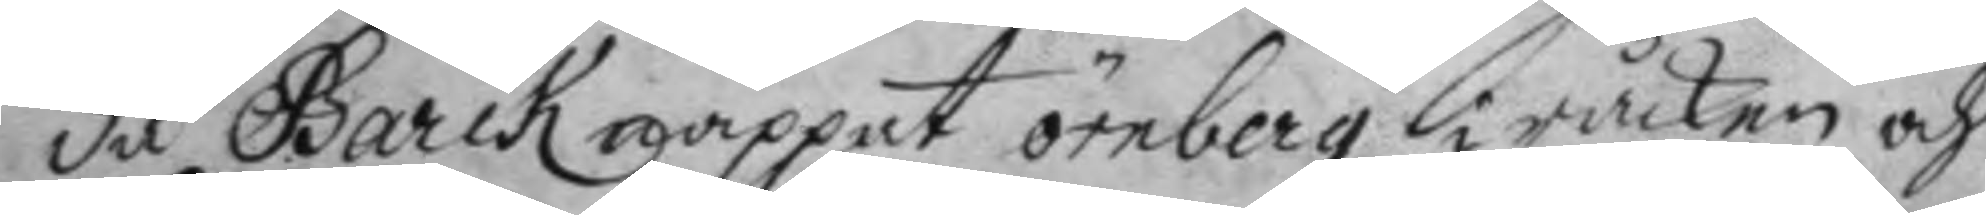då Barck rappat örnberg i råcken och
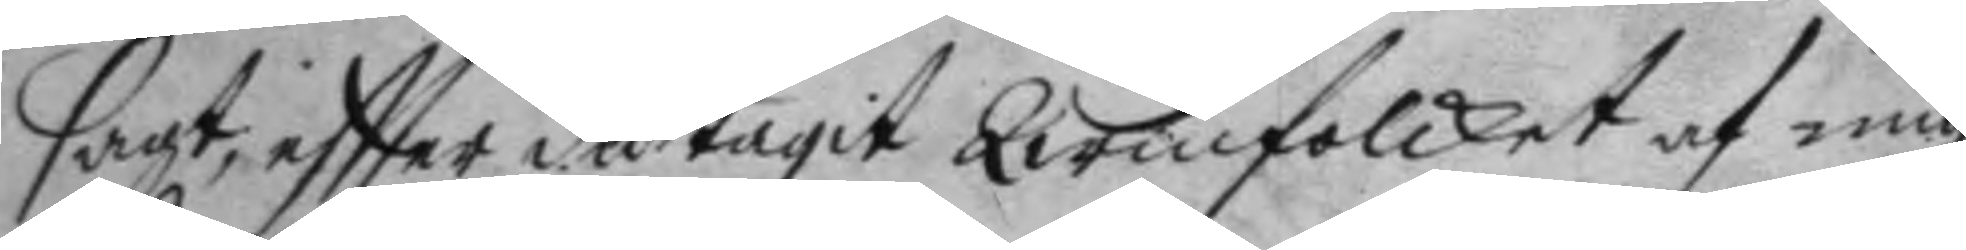sagt, eftter du tagit qwinfolcket af mig
